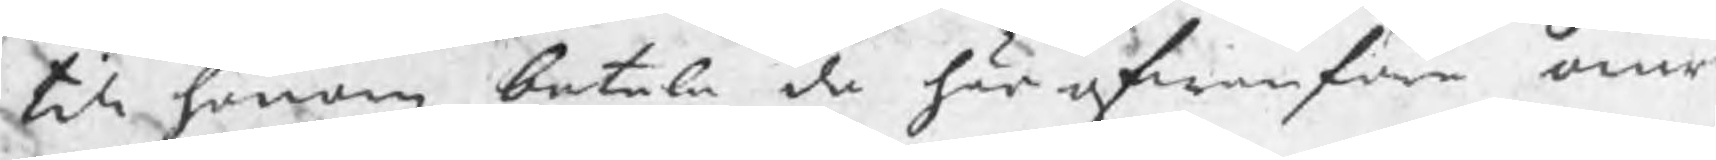till honom betala de här ofwanföre omr
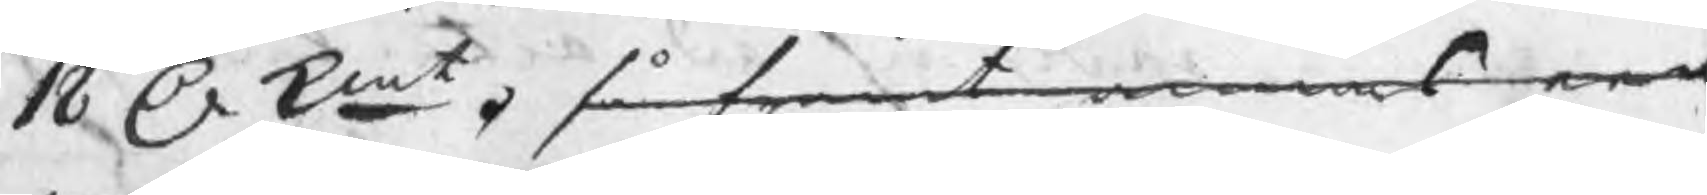18 D kmt. så framt annars een
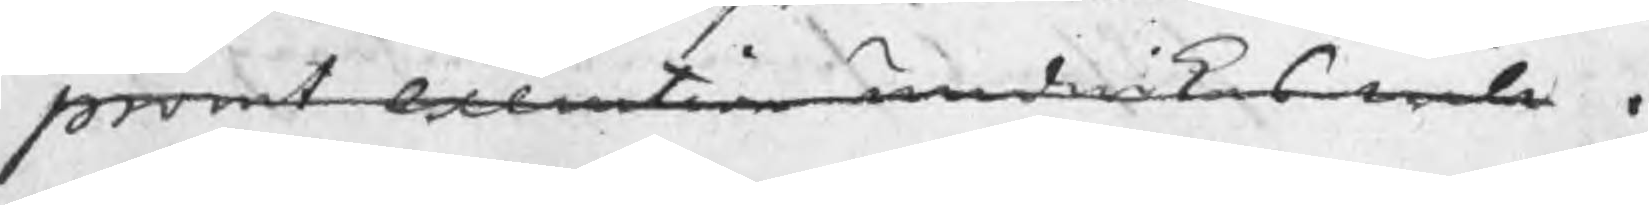promt exentiob undwikas wille.
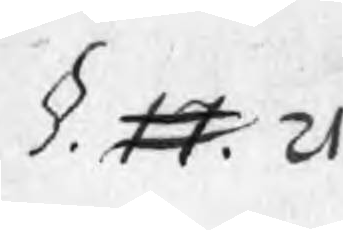§. 17. 21
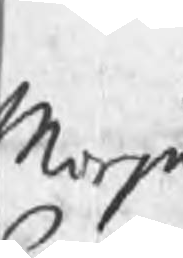Morjn
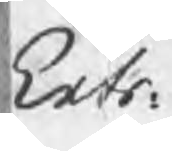Extr.
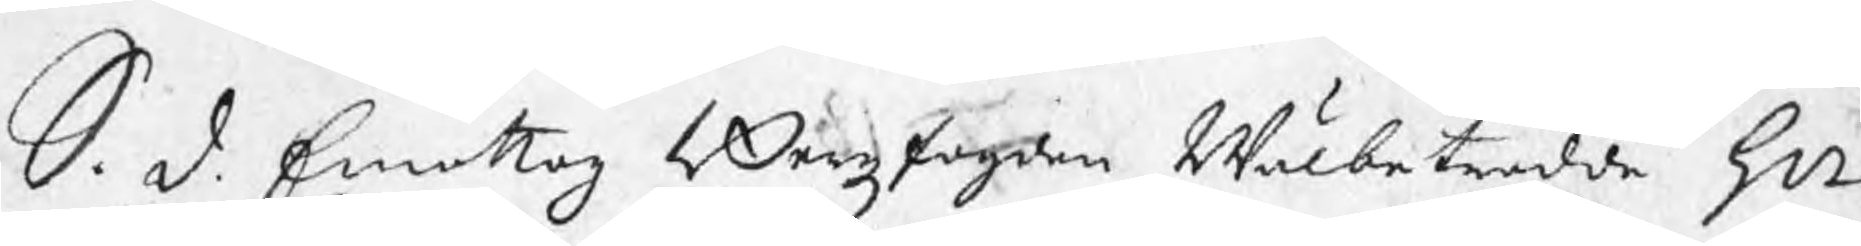S. D. Emottog Bergzfogden Wälbetrodde Hr
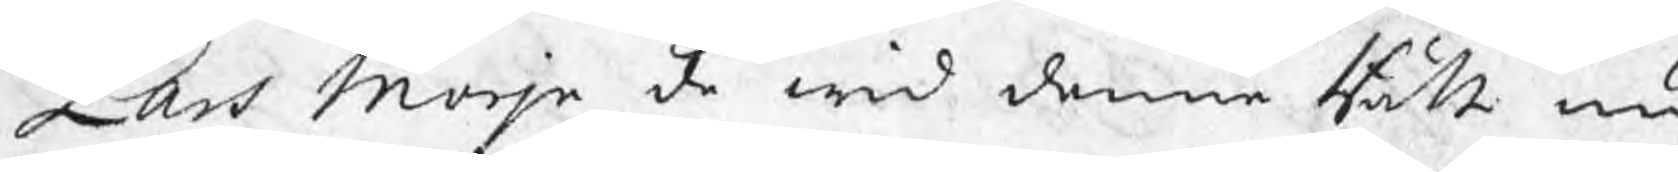Lars Morjn de wid denne Rätt nu
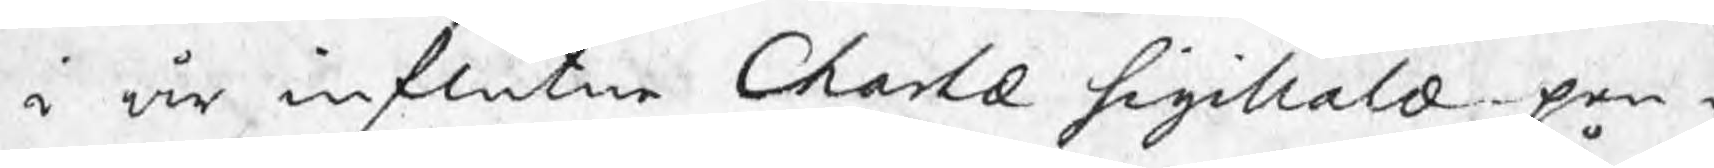i år influtne Chartæ sigillalæ pen¬
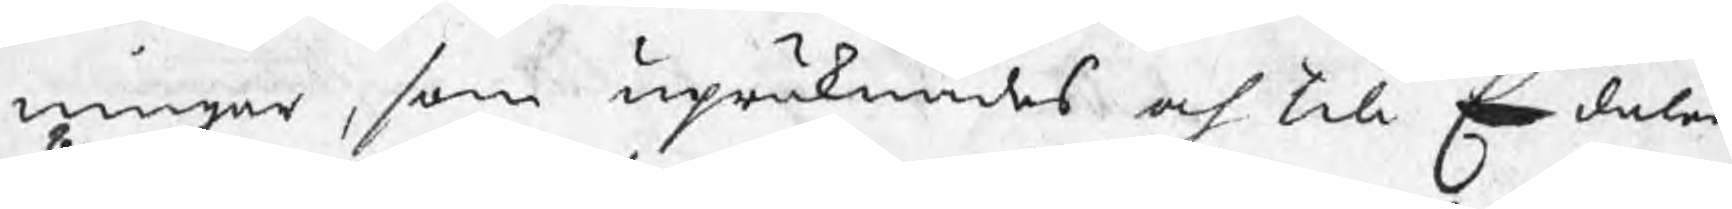ningar, som upräknades och till En daler
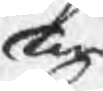Twå
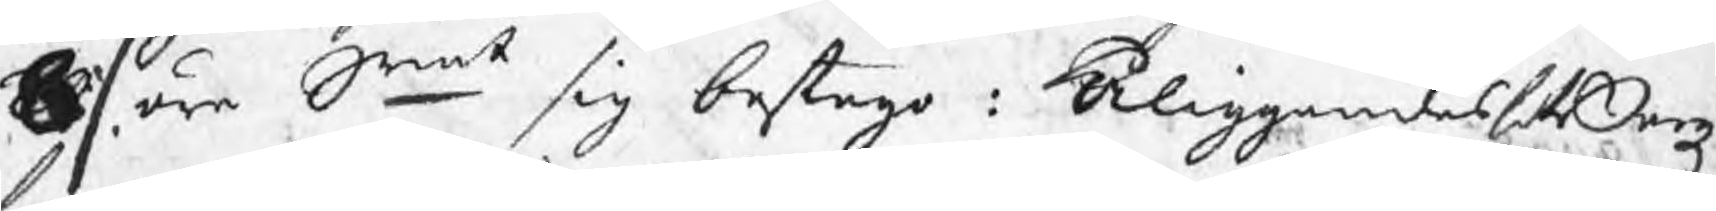8 / öre Srmt sig bestego : Åliggandes H Bergz¬
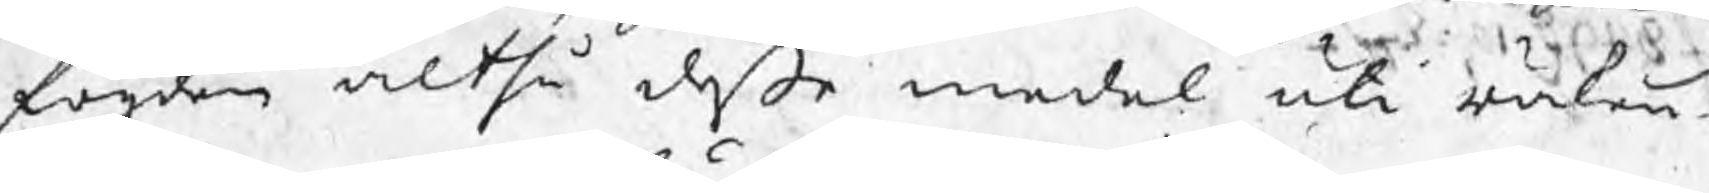fogden altså deße medel uti räken¬
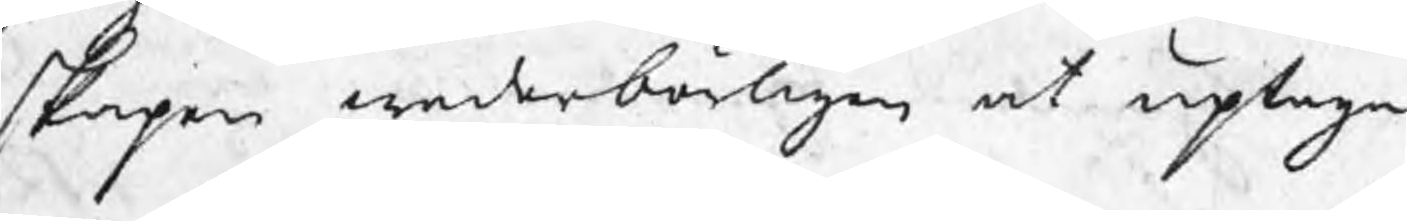skapen wederbörligen at uptaga.
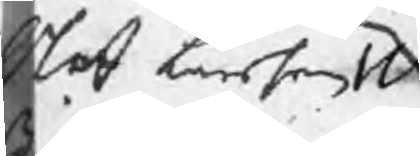Olof Larsson W
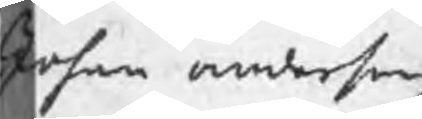Johan anderson
